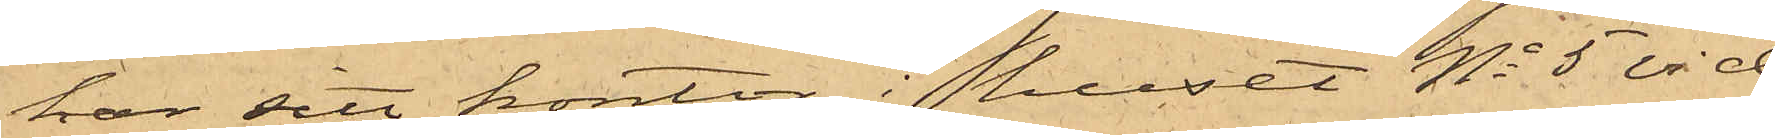har sitt kontor i huset No 5 vid
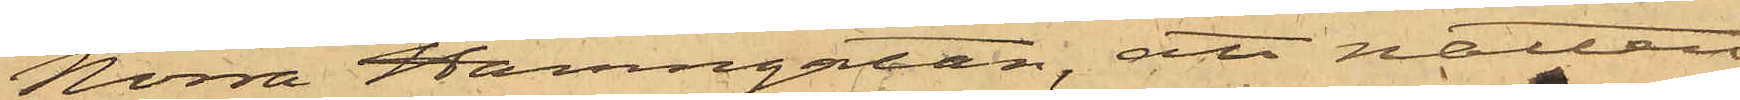Norra Hamngatan, att natten
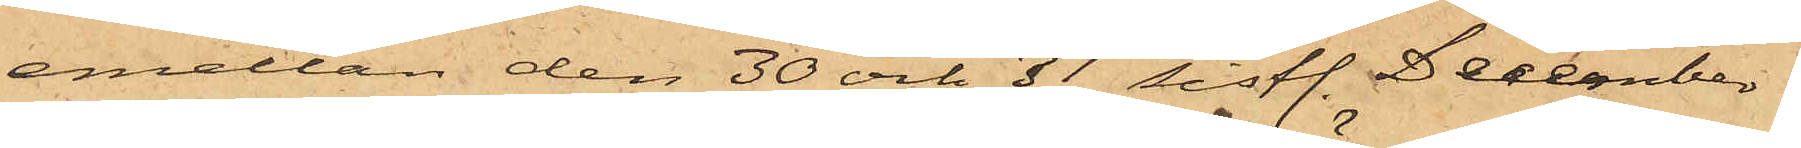emellan den 30 och 31 sistl. December
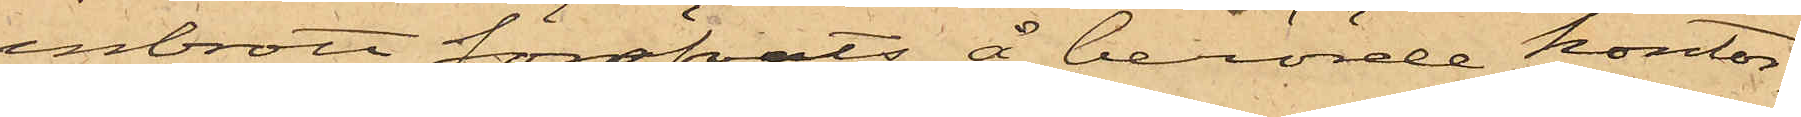inbrott föröfvats å berörde kontor,
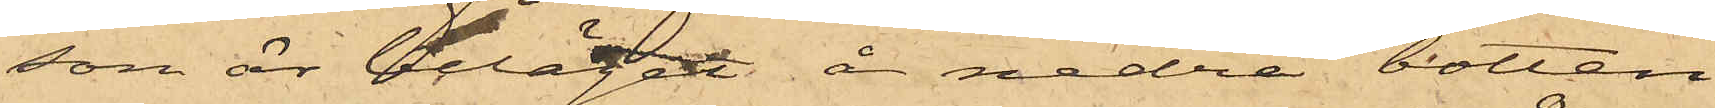som är beläget å nedra botten
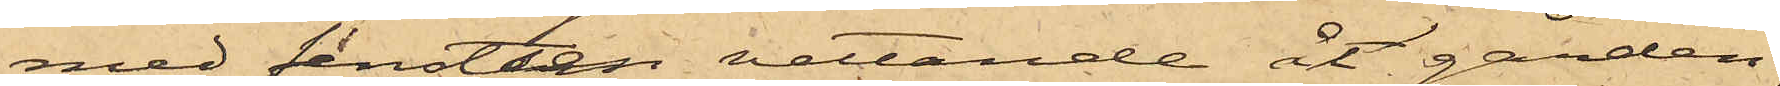med fenstren vettande åt gården;
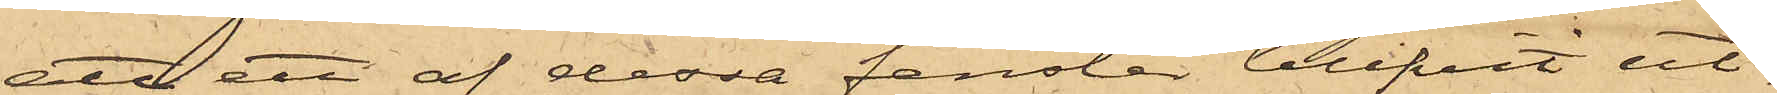att ett af dessa fenster blifvit ut¬
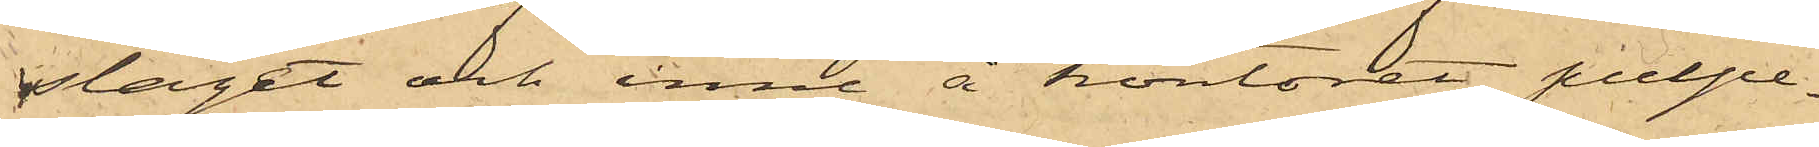slaget och inne å kontoret pulpe¬
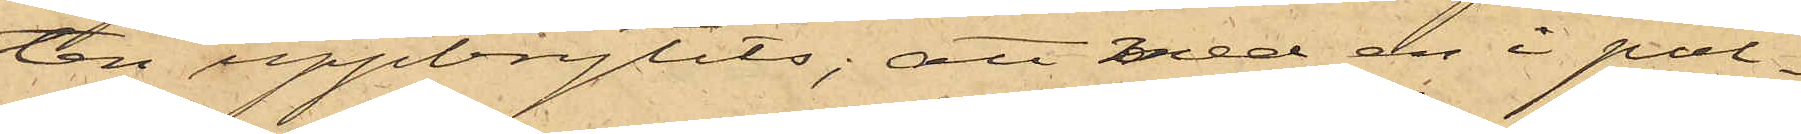ten uppbrytits; att med en i pul¬
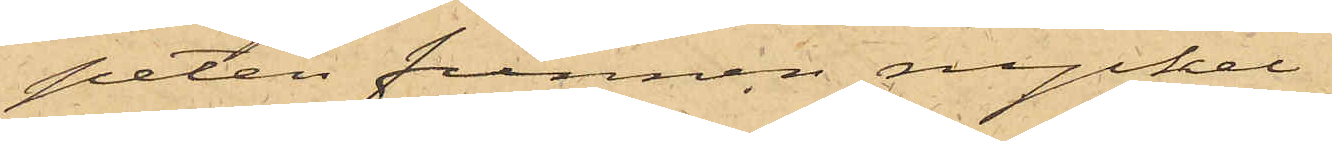peten funnen nyckel
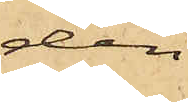den
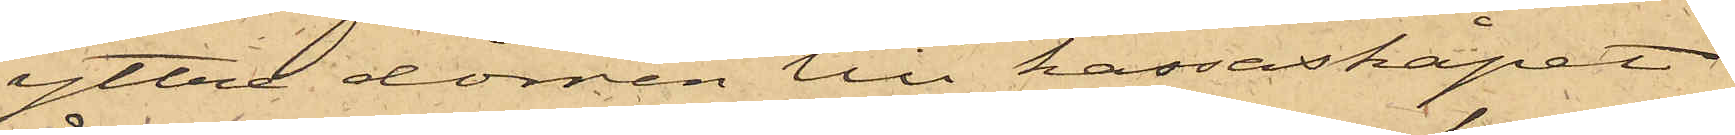yttre dörren till kassaskåpet
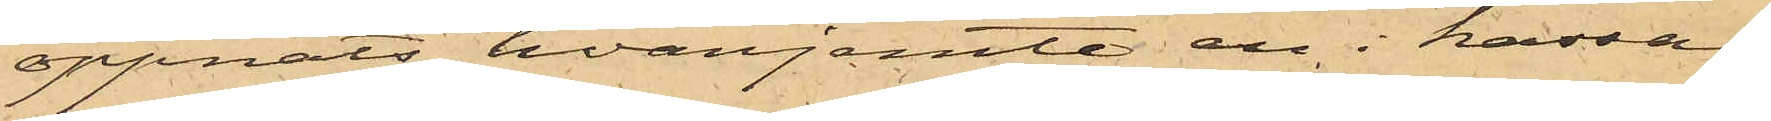öppnats, hvarjemte en i kassa¬
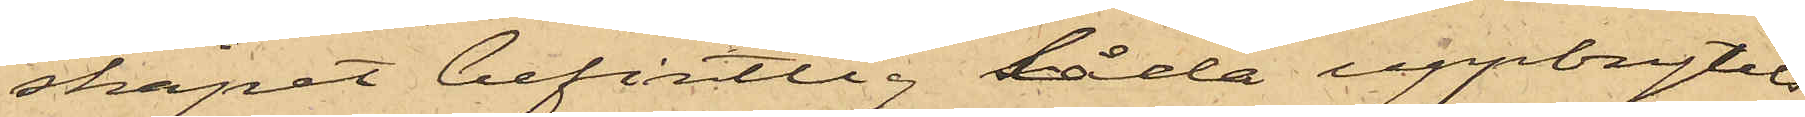skåpet befintlig låda uppbrytits;
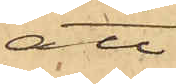att
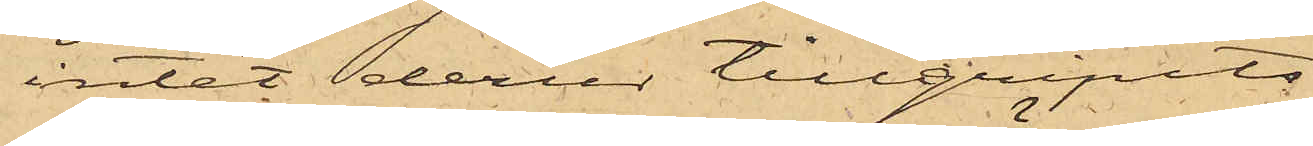intet derur tillgripits
